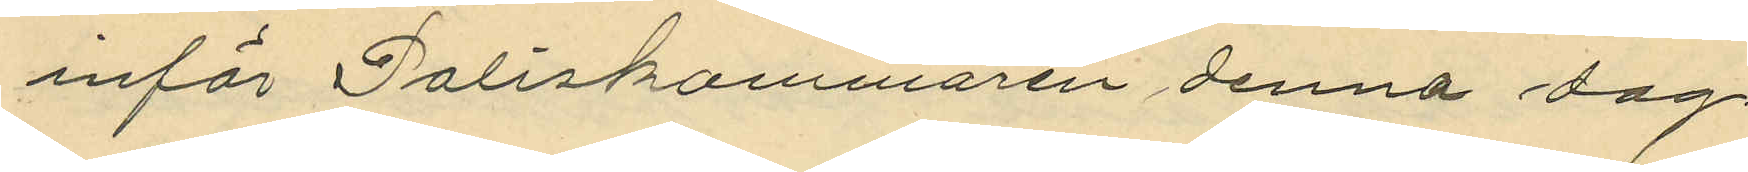inför Poliskammaren denna dag.
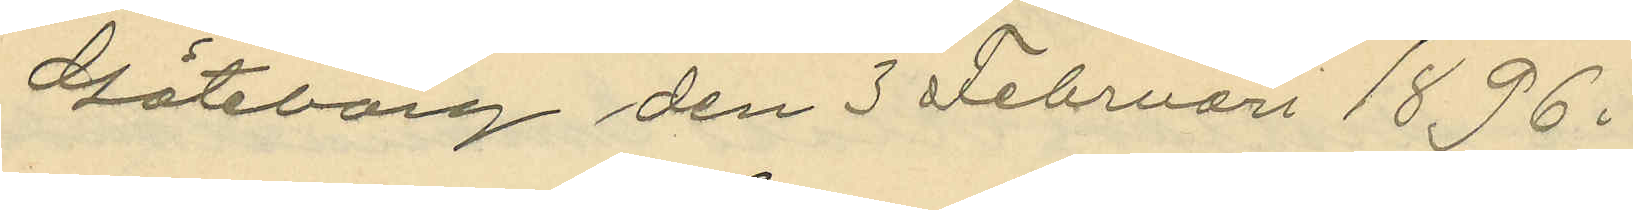Göteborg den 3 Februari 1896.
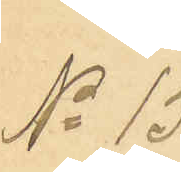No 15
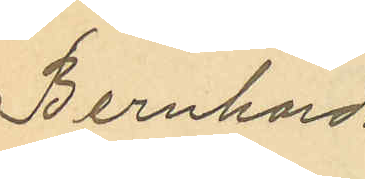Bernhard
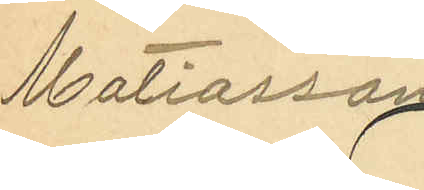Matiasson
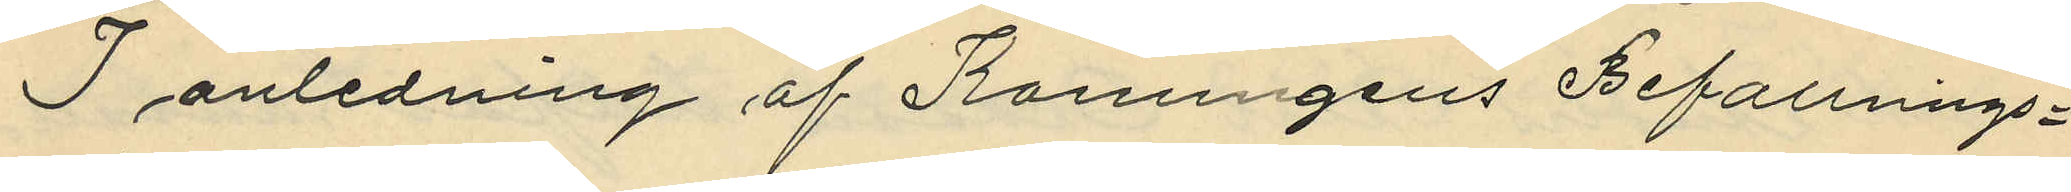I anledning af Konungens Befallnings¬
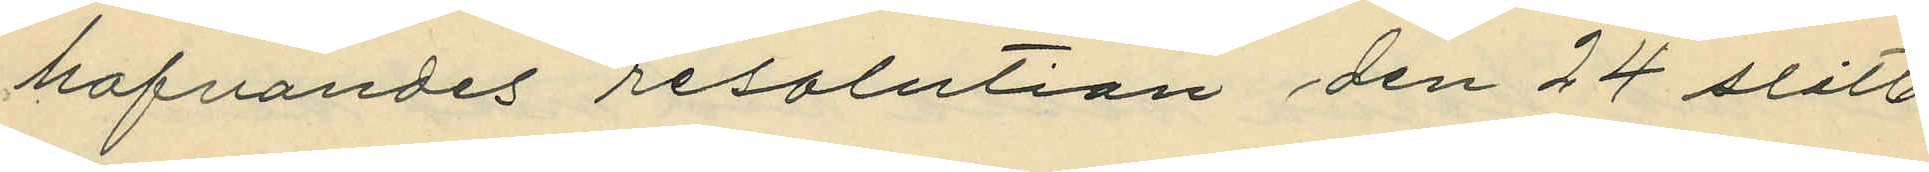hafvandes resolution den 24 sist.
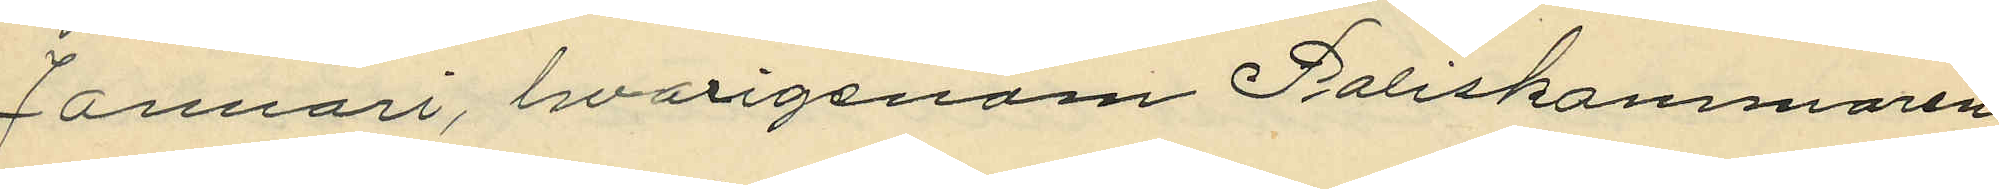Januari, hvarigenom Poliskammaren
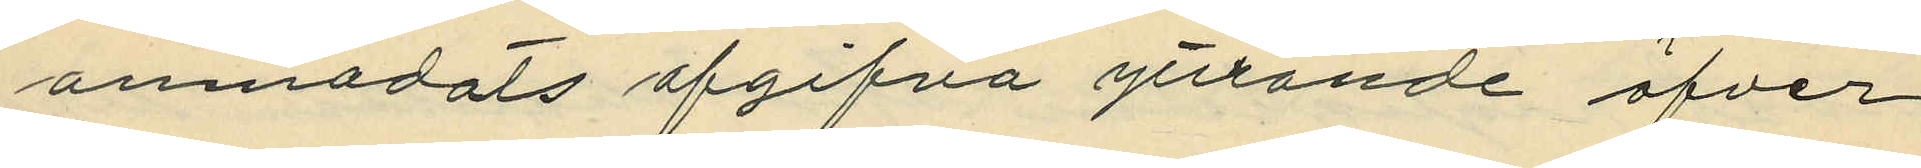anmodats afgifva yttrande öfver
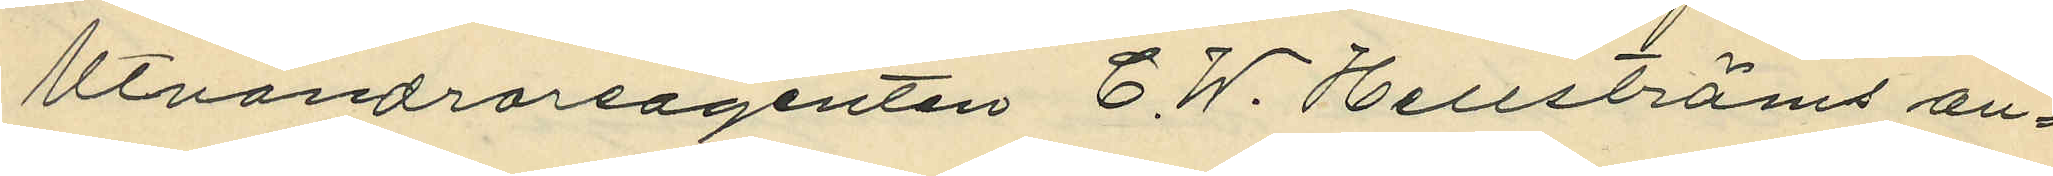Utvandrareagenten C.W. Hellströms an¬
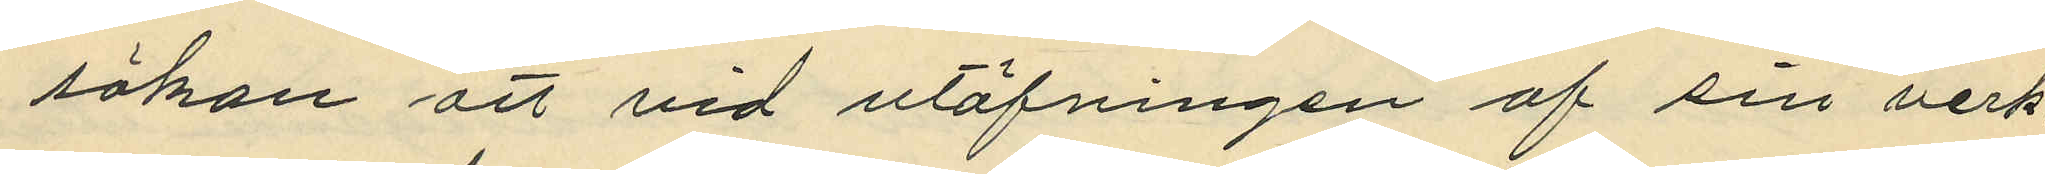sökan att vid utöfvningen af sin verk¬
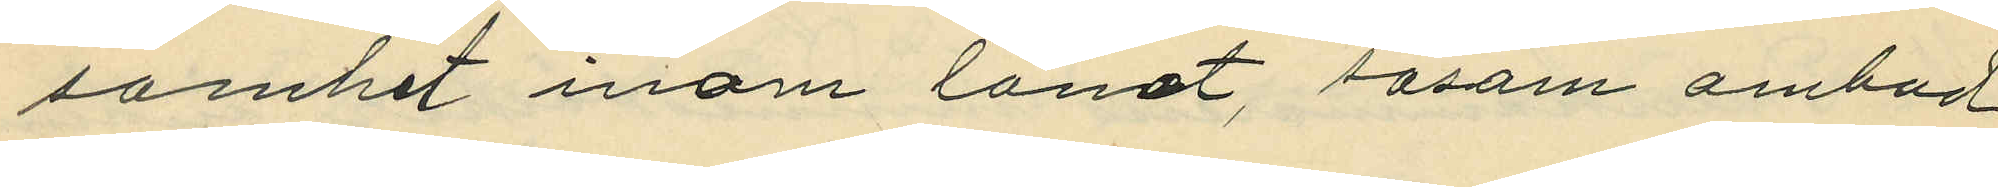samhet inom länet, såsom ombud
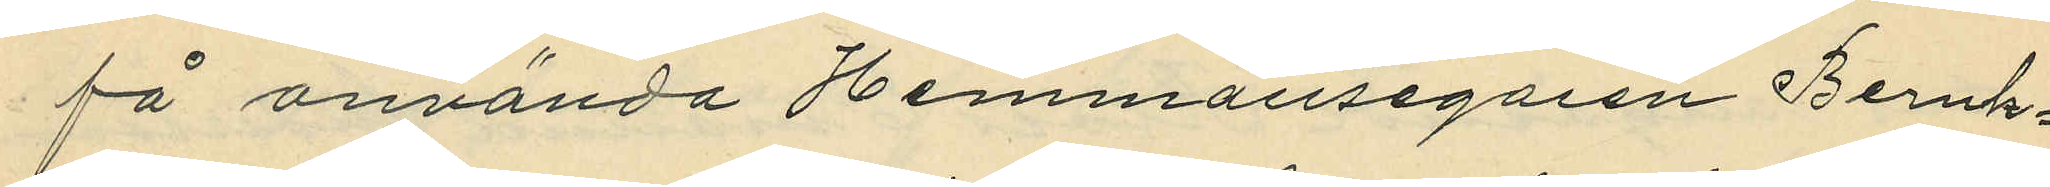få använda Hemmansegaren Bernh¬
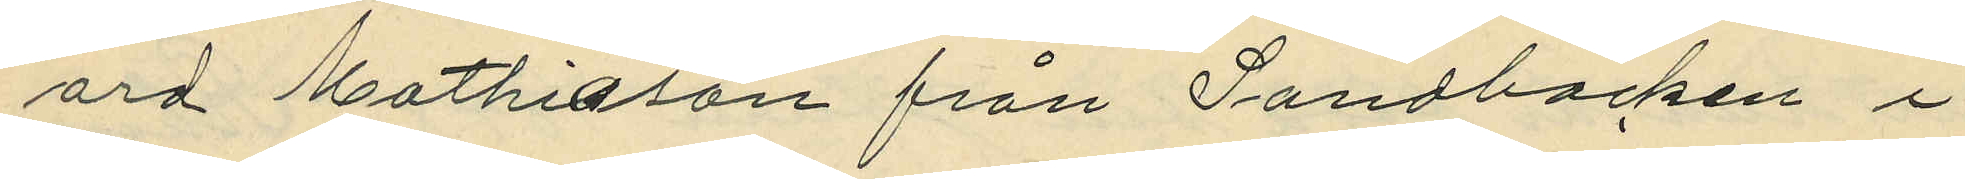ard Mathiason från Sandbacken i
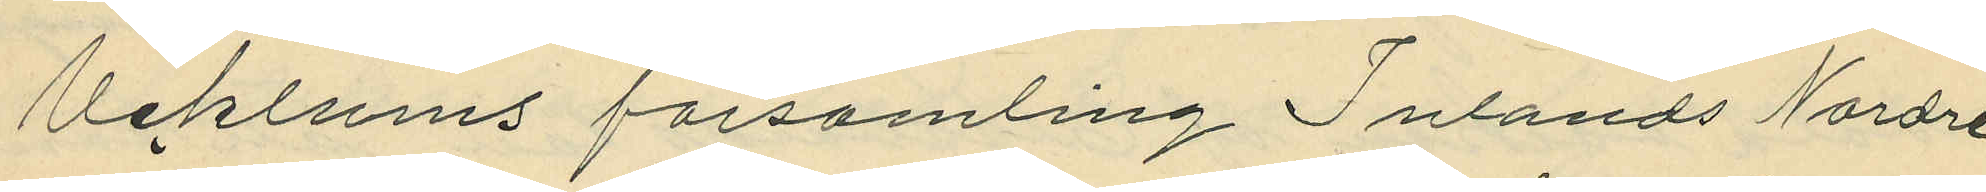Ucklums församling Inlands Nordre
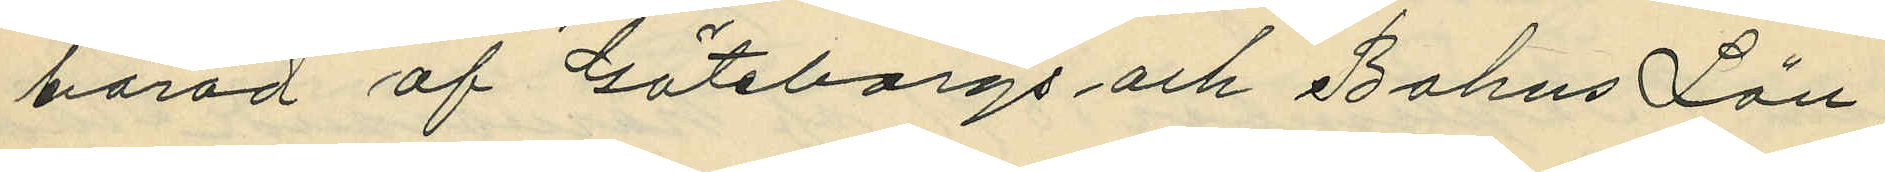härad af Göteborgs och Bohus Län;
